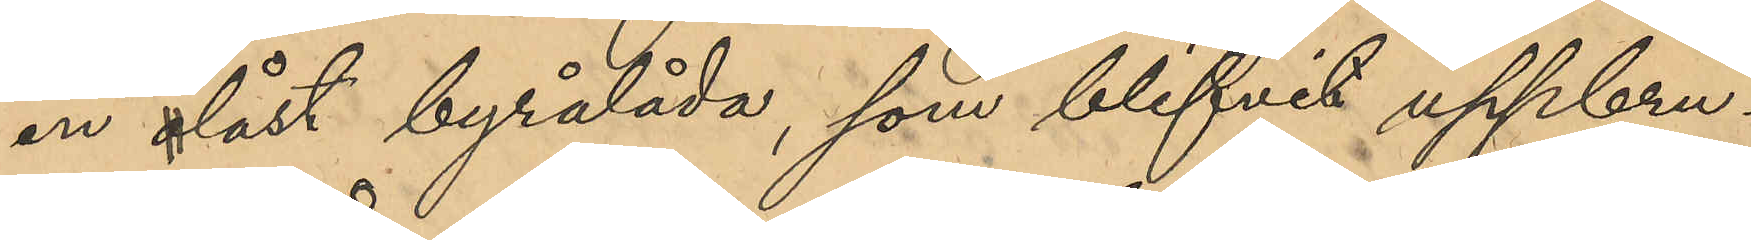en olåst byrålåda, som blifvit uppbru¬
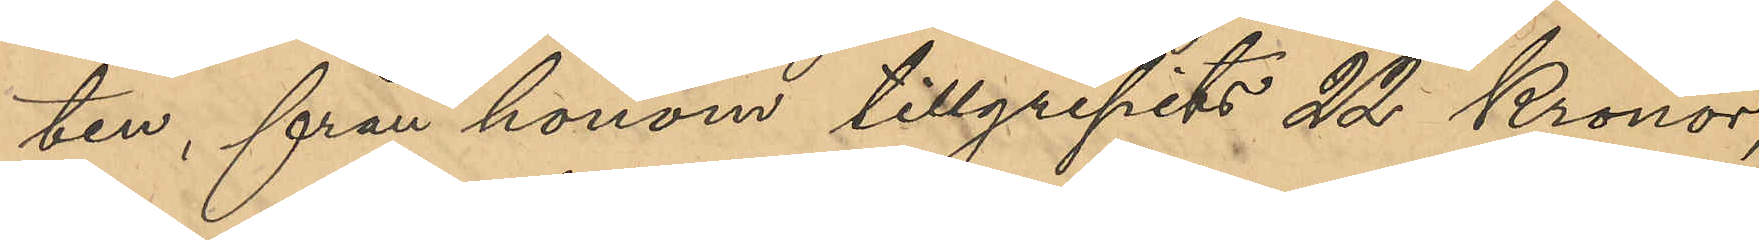ten, från honom tillgripits 22 Kronor,
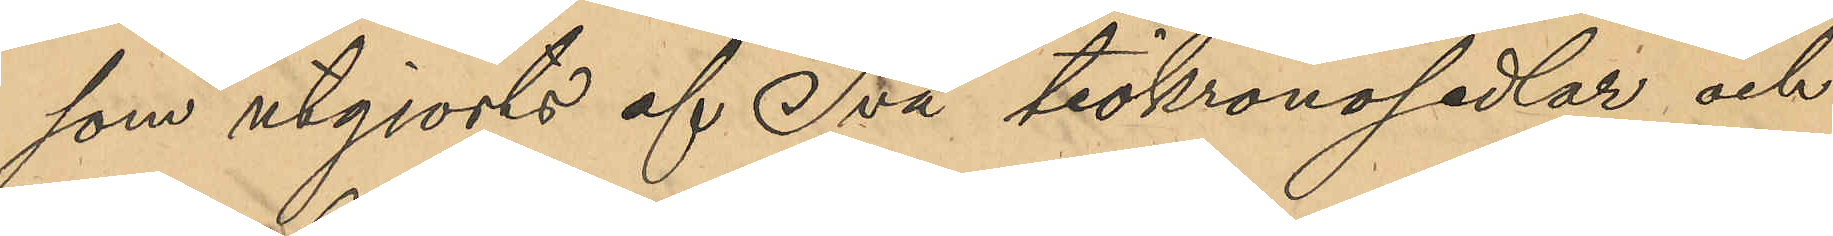som utgjorts af Två tiokronosedlar och
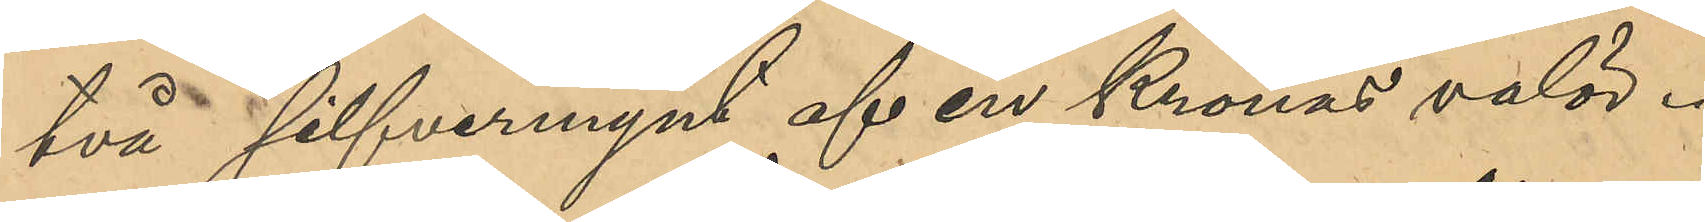två silfvermynt af en Kronas valör.
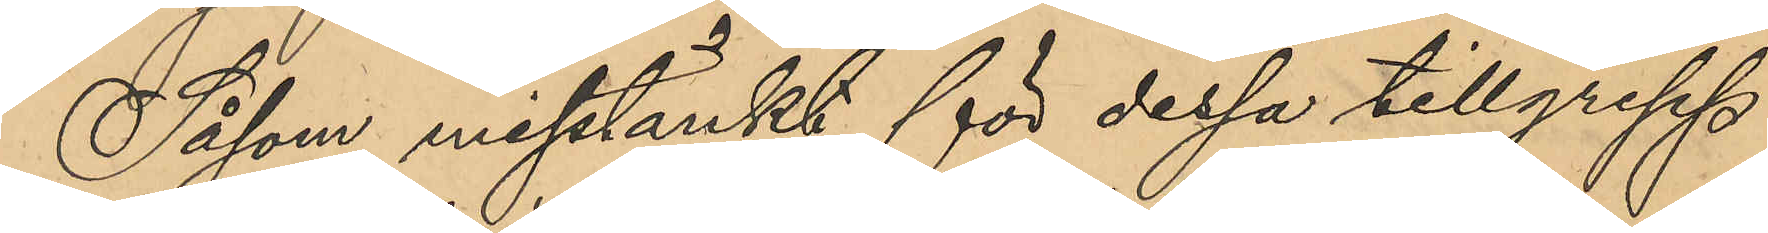Såsom misstänkt för dessa tillgrepp
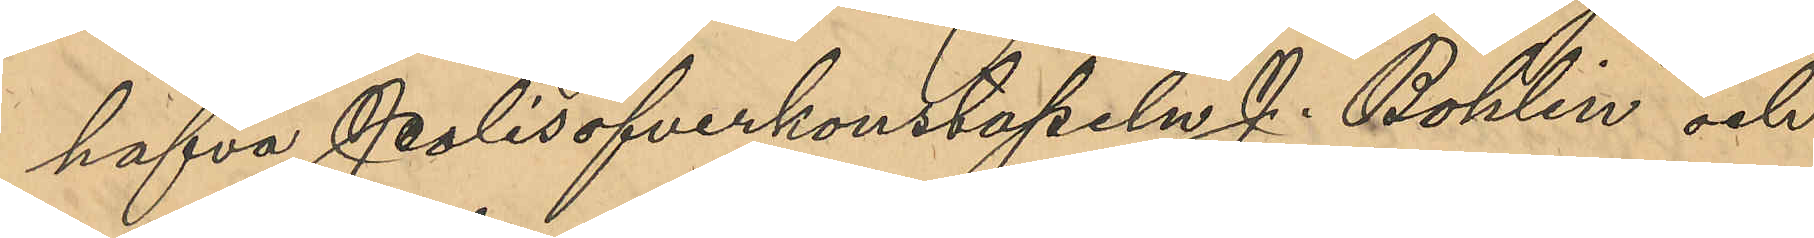hafva Polisöfverkonstapeln J. Bohlin och
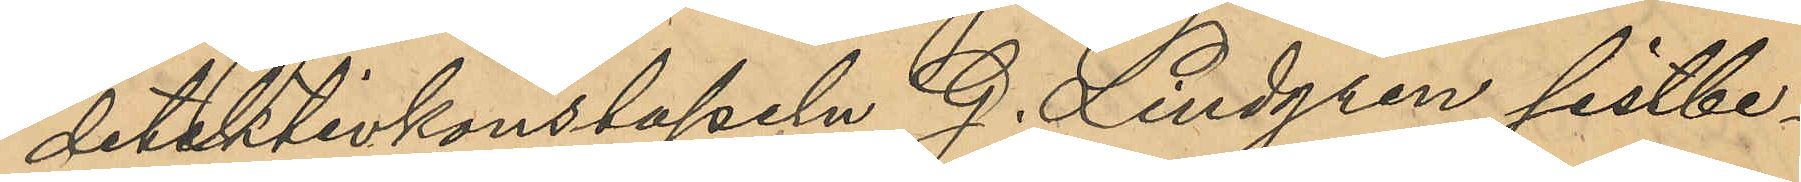detektivkonstapeln G. Lindgren sistbe¬
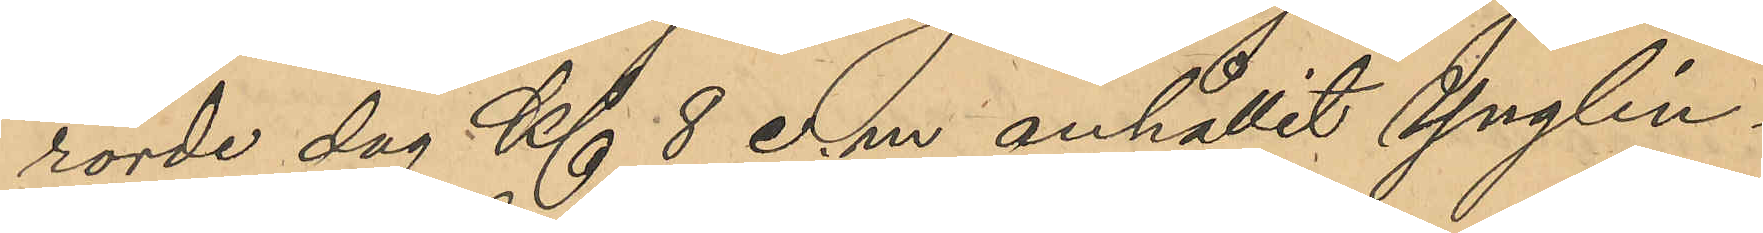rörde dag Kl 8 e. m. anhållit Ynglin¬
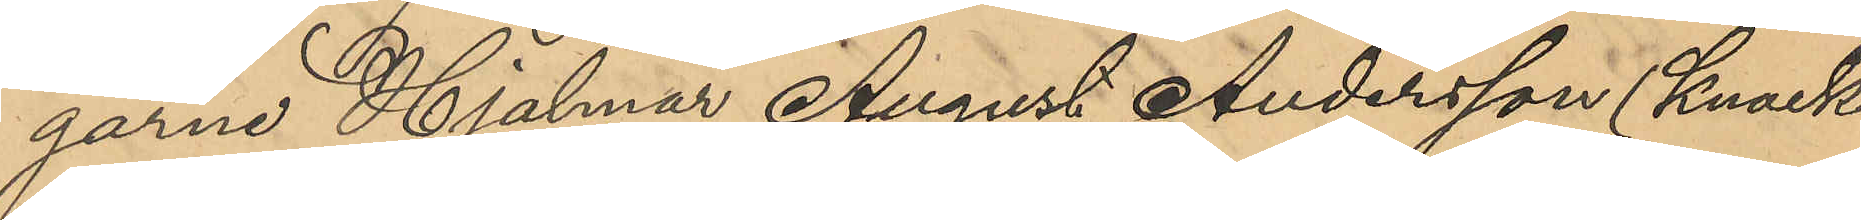garna Hjalmar August Andersson (Knack¬
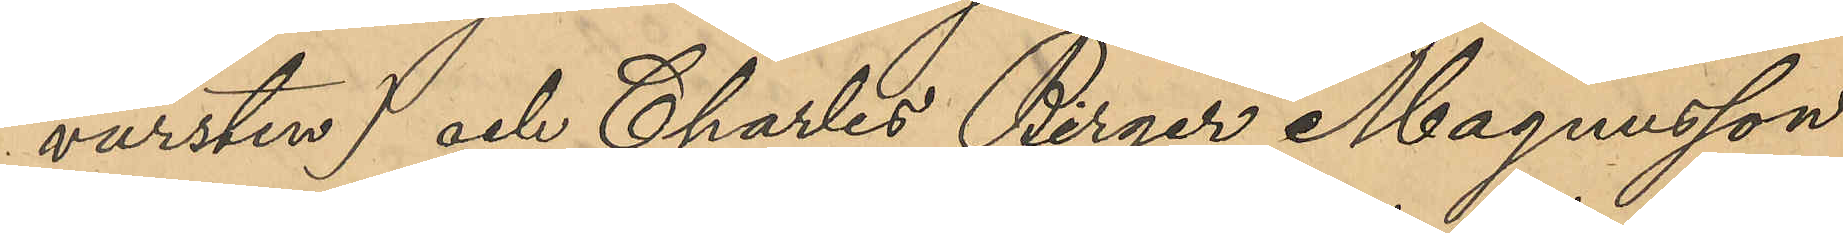vursten) och Charles Birger Magnusson
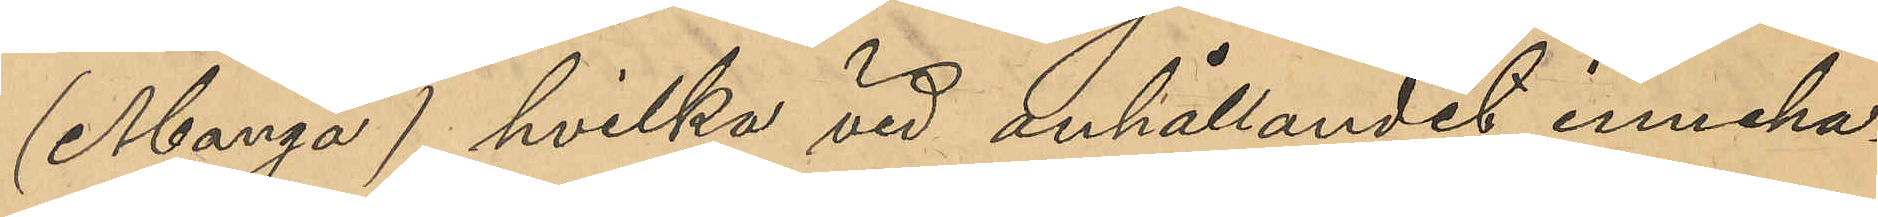(Manga), hvilka vid anhållandet inneha¬
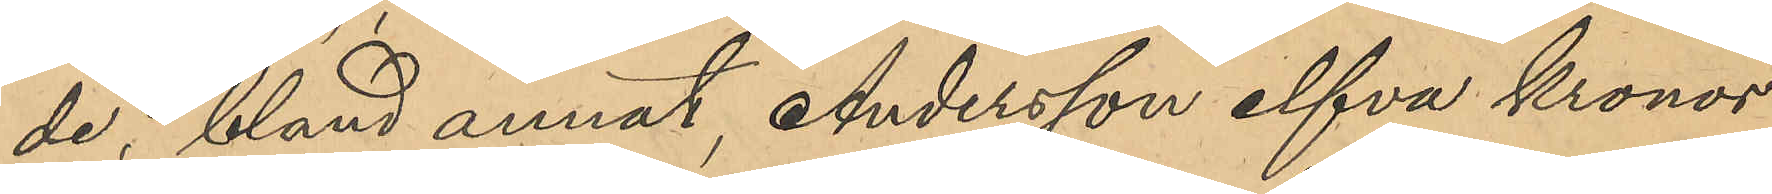de, bland annat Andersson elfva kronor
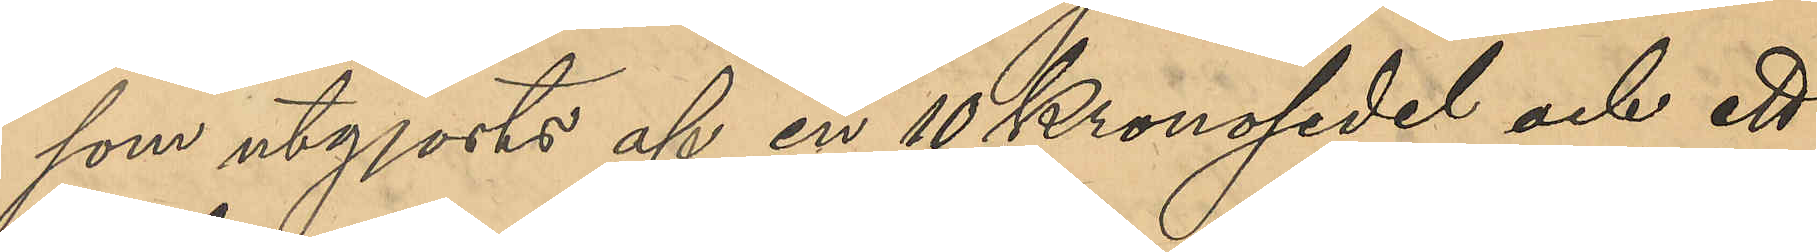som utgjorts af en 10Kronosedel och ett
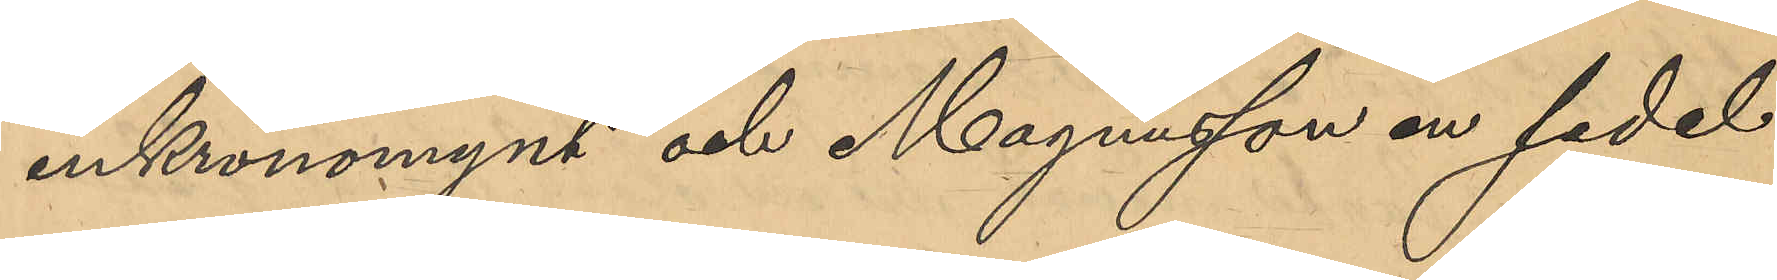enkronomynt och Magnusson en sedel
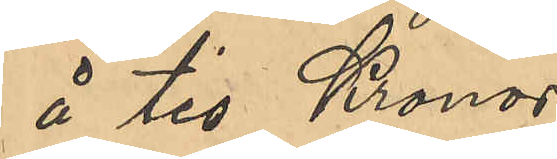å tio Kronor.
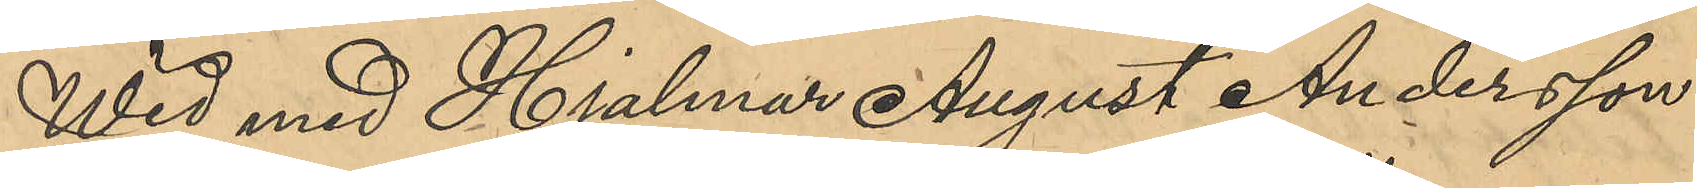Wid med Hjalmar August Andersson
